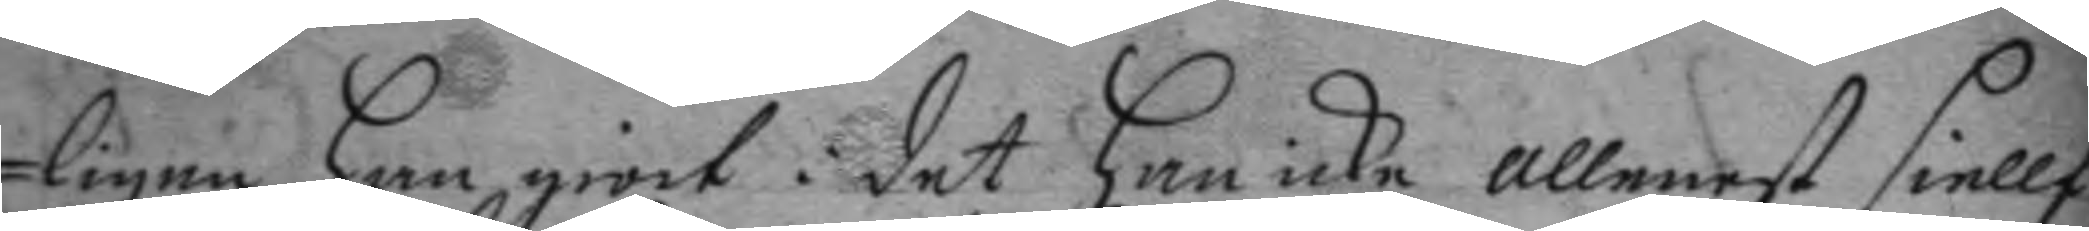ligen han giort: det han icke allenast siellf
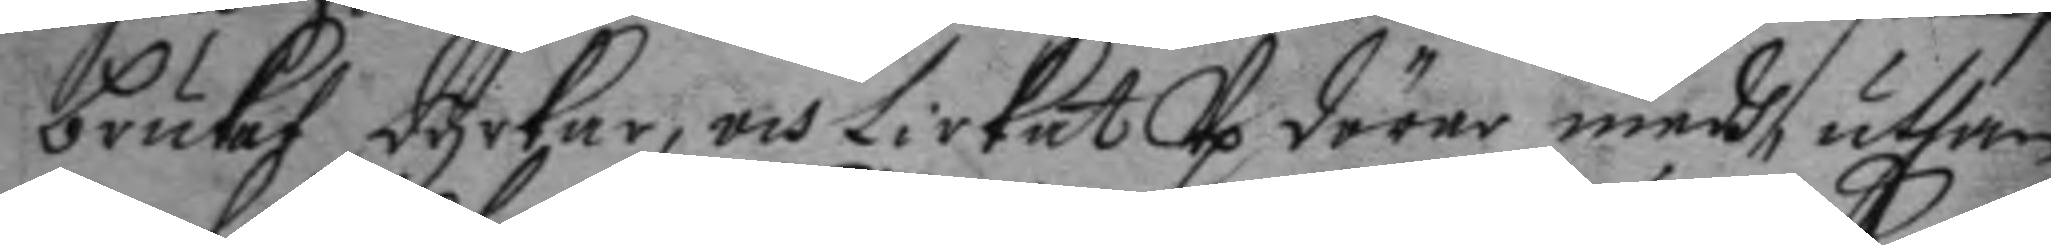brukat dyrkar, och Lirkat Up dörar medh, uthan
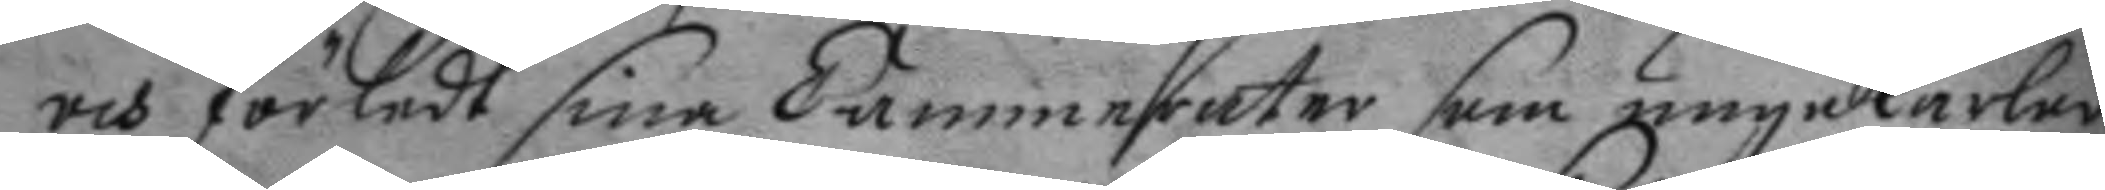och förledt sina Cammerater som unge karlar
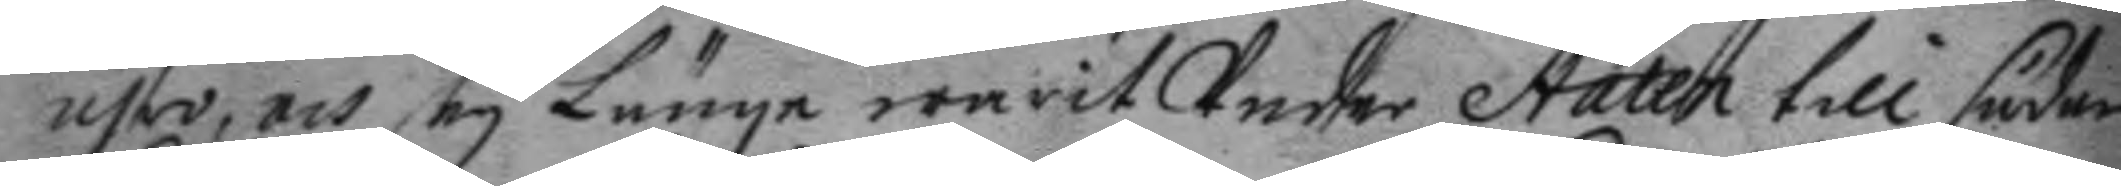ähro, och ey Länge warit Under Staten till sådan
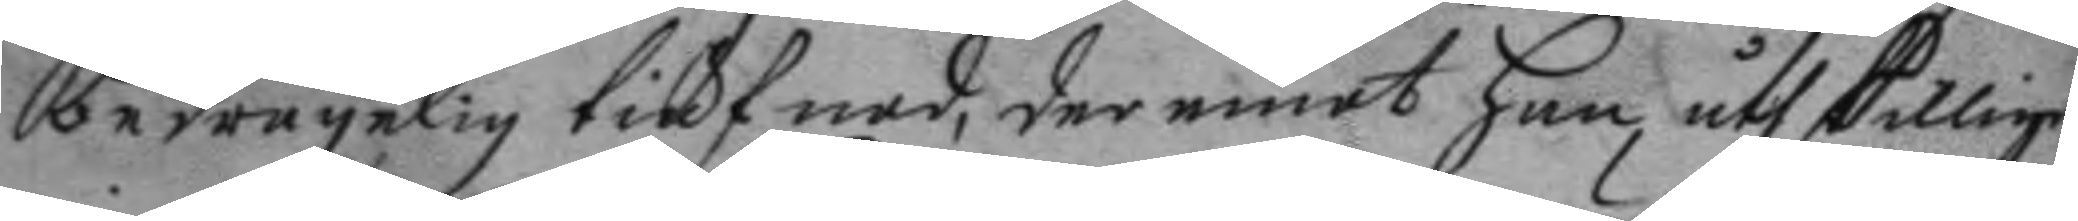bedrägelig tiufnad, der emot han åthskillige
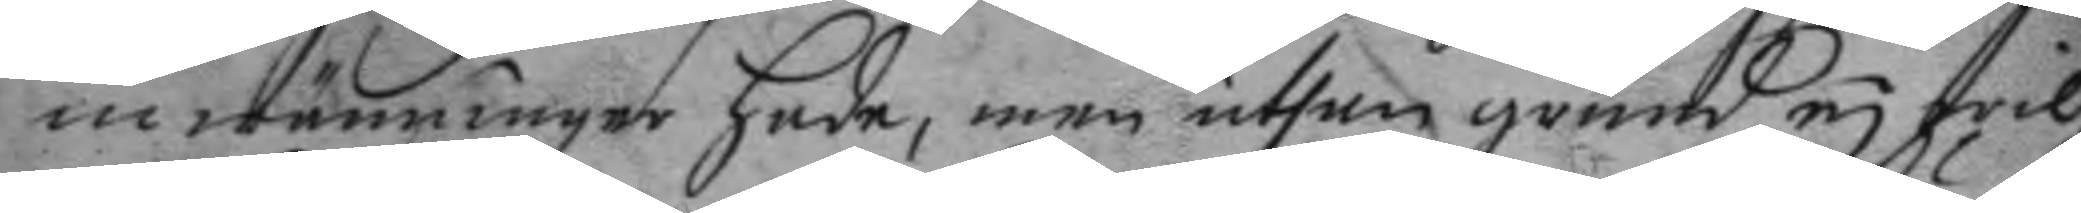inwänninger hade, men uthan grund ey wil¬
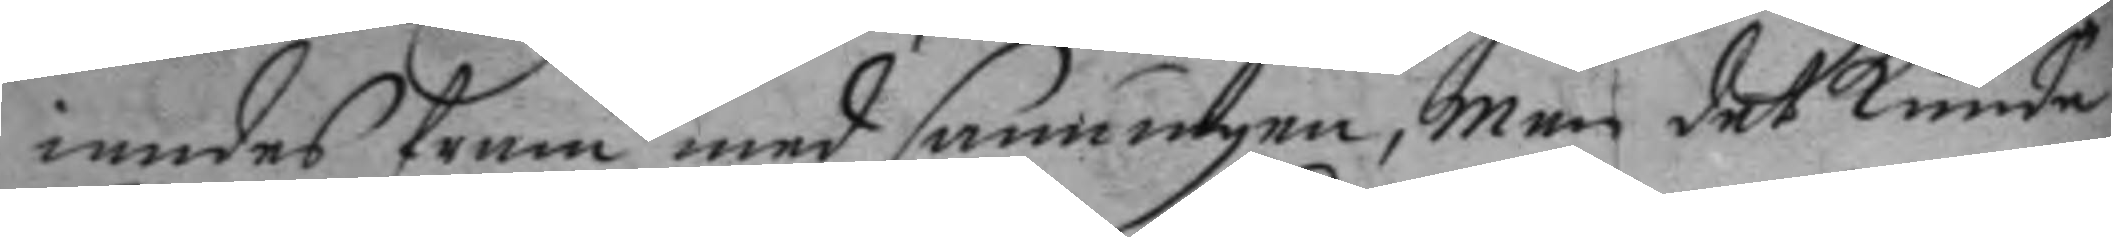iandes fram med sanningen, men det kunde
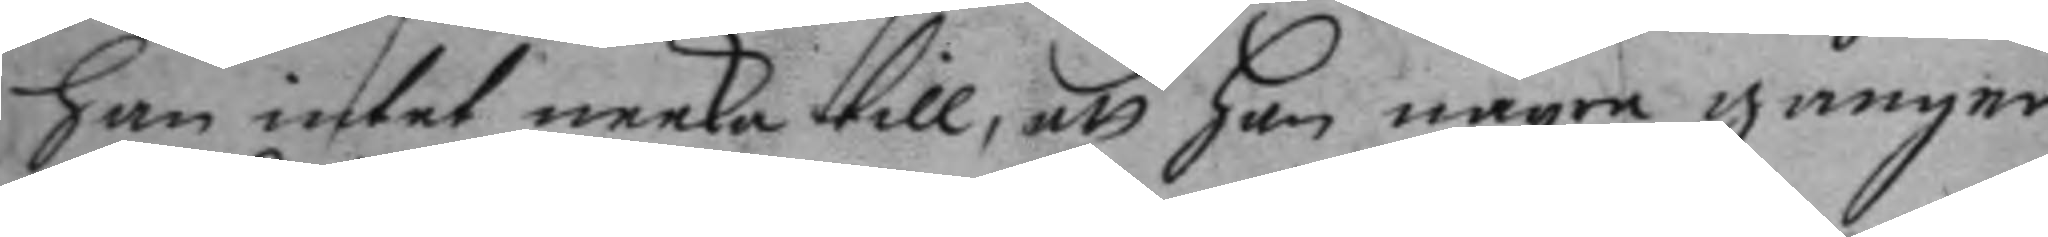han intet neeka till, att han några gånger
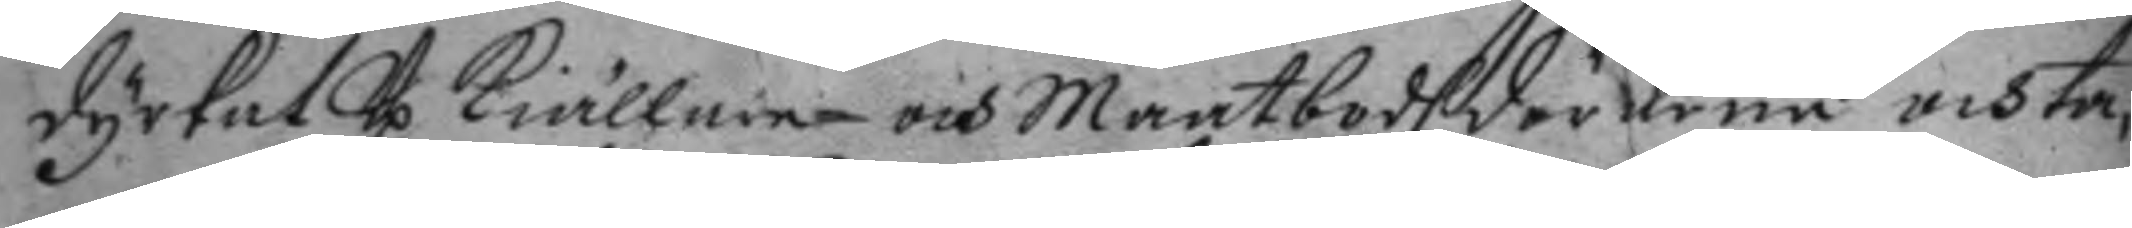dyrkat Up kiällaren och maatbodhdörarna och ta¬
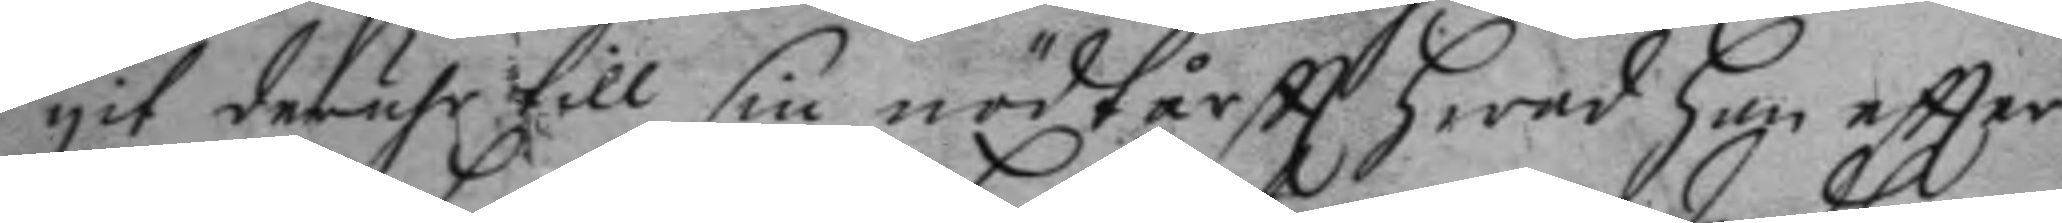git deruhr till sin nödtårftt hwad han eftter
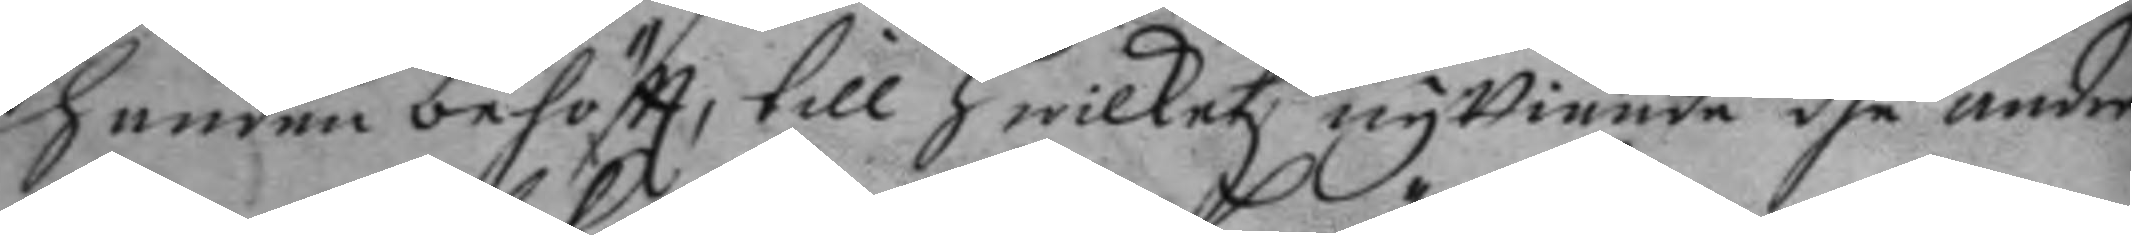handen behöftt, till hwilket nyttiande dhe andra
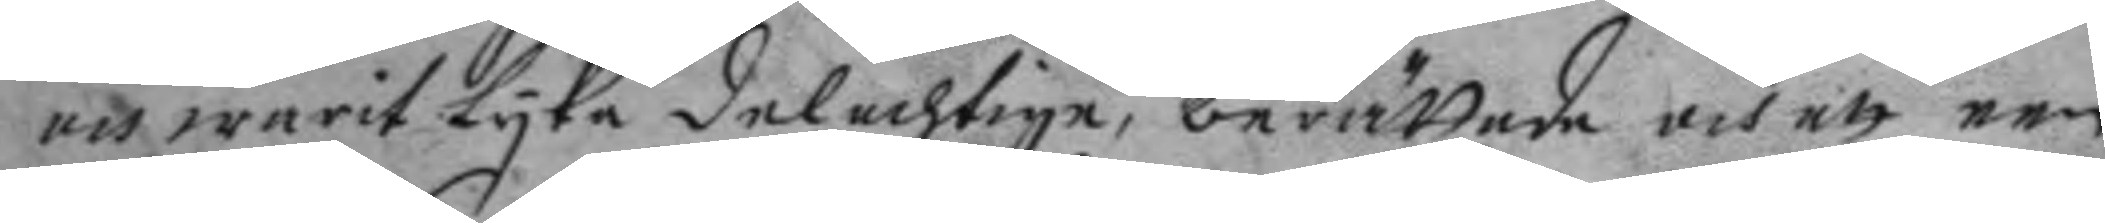och warit Lyka delachtige, berättade och att een
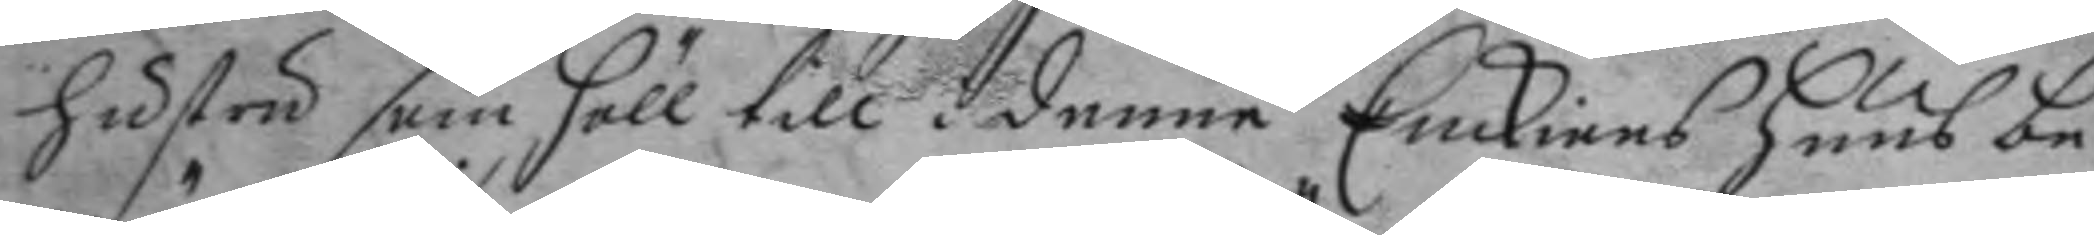hustri som höll till i denne Enckians huus be¬
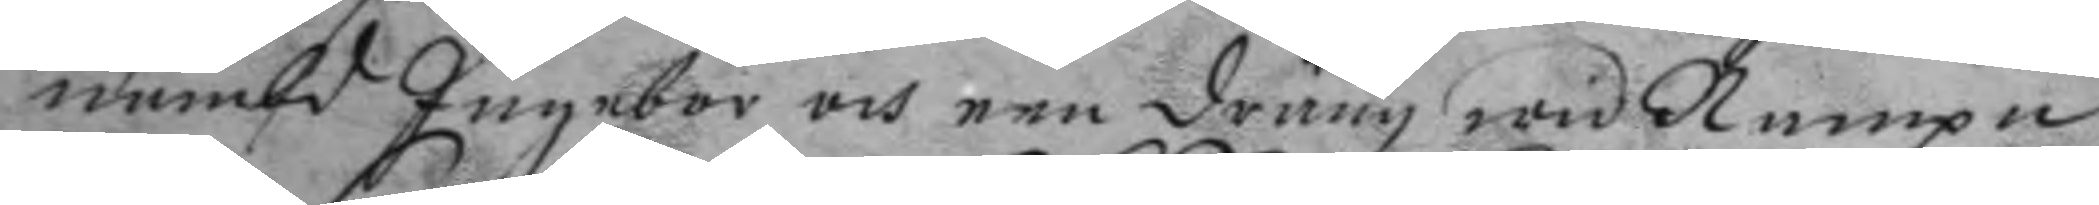nämbd Ingebor och een dräng wid Nampn
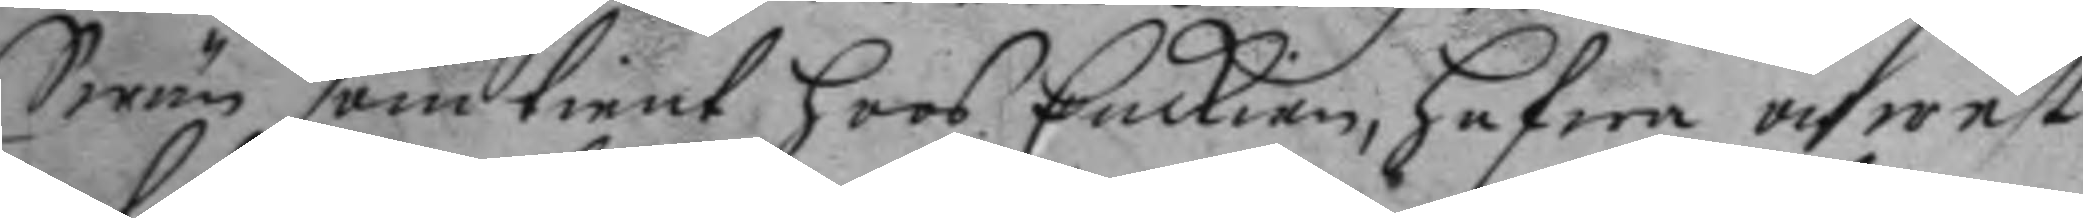Swän som tient hoos Enckian, hafwa och west
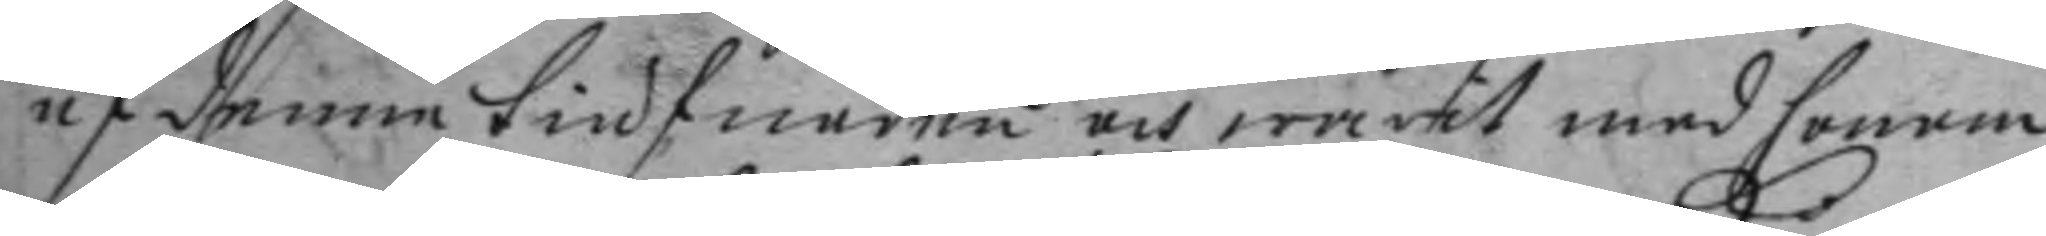af denne tiufnaden och warit med honom
